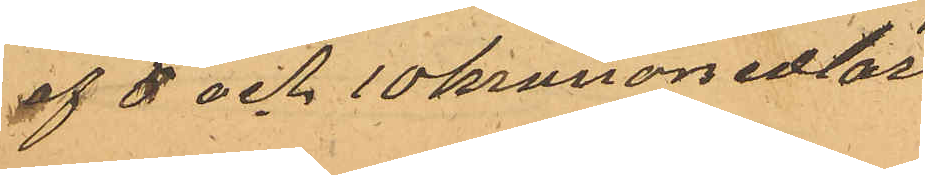af 5 och 10 kronorsedlar
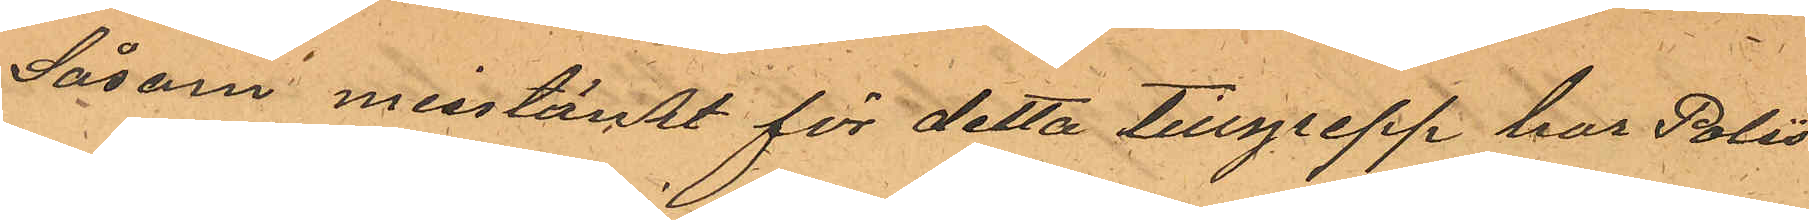Såsom misstänkt för detta tillgrepp har Polis¬
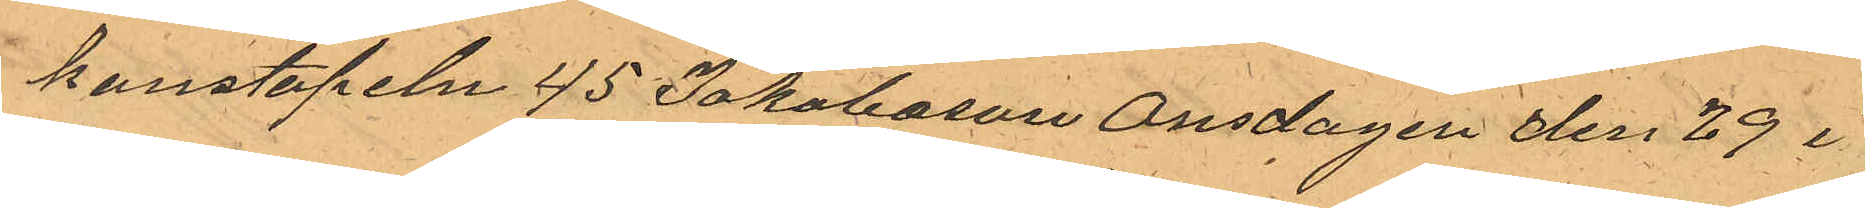konstapeln 45 Jakobsson Onsdagen den 29 i
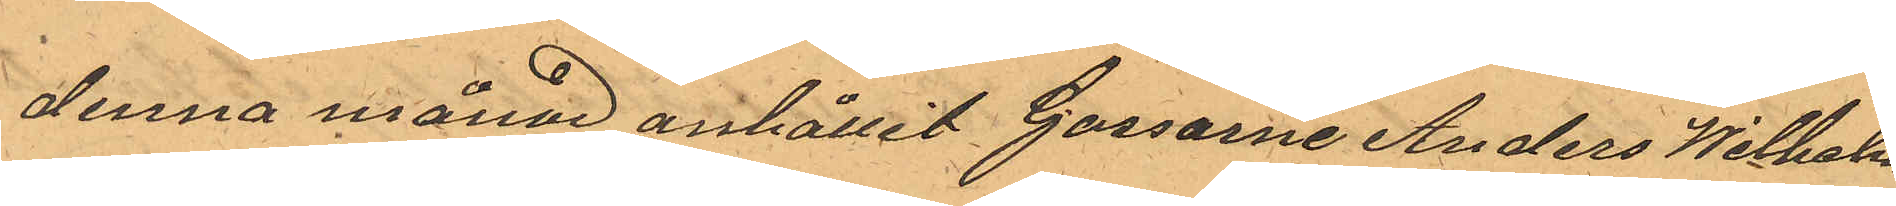denna månad anhållit Gossarne Anders Wilhelm
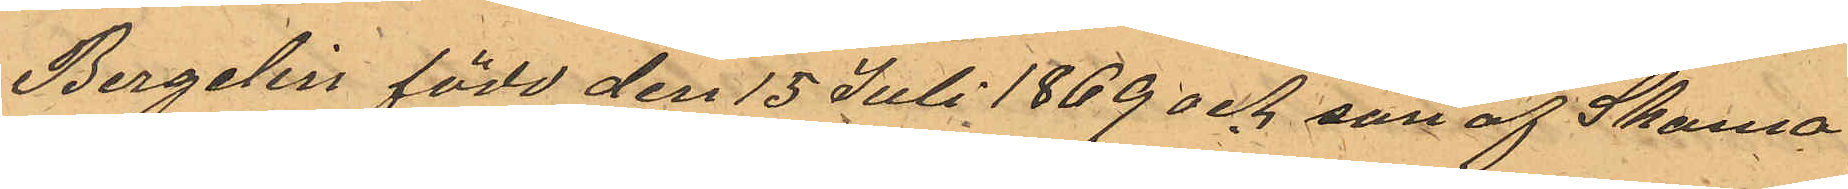Bergelin född den 15 Juli 1869 och son af Skoma¬
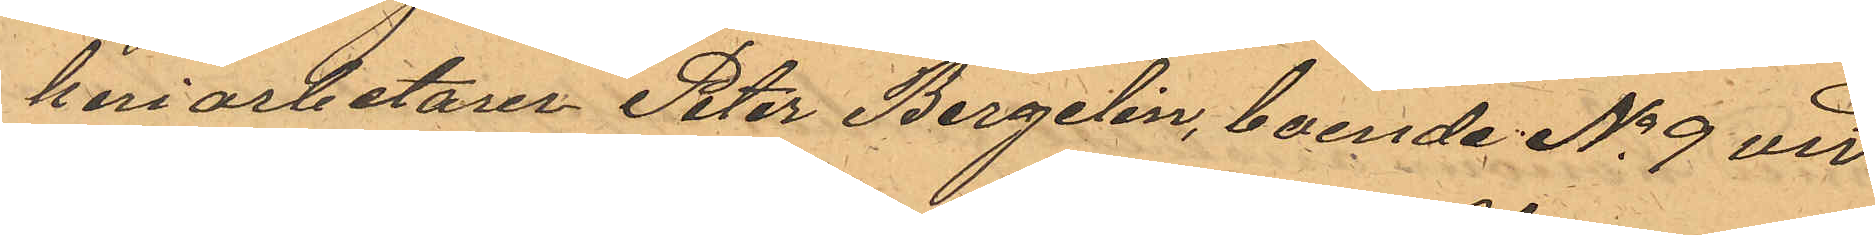keriarbetaren Peter Bergelin, boende No 9 vid
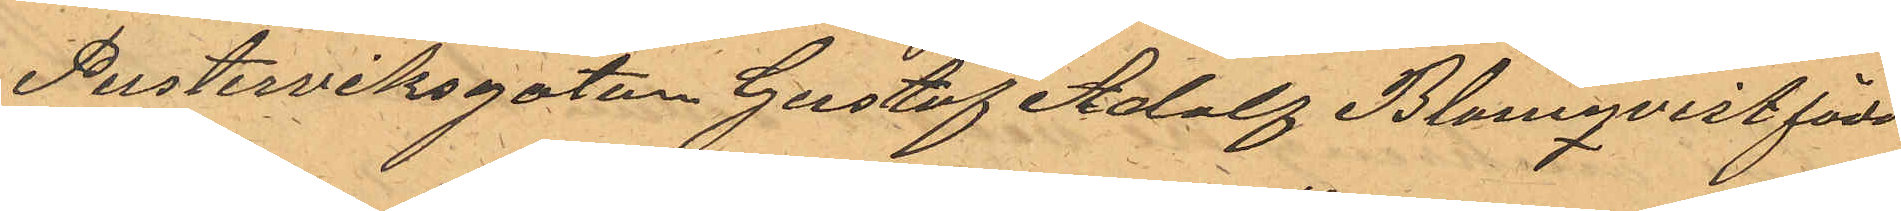Pusterviksgatan Gustaf Adolf Blomqvist född
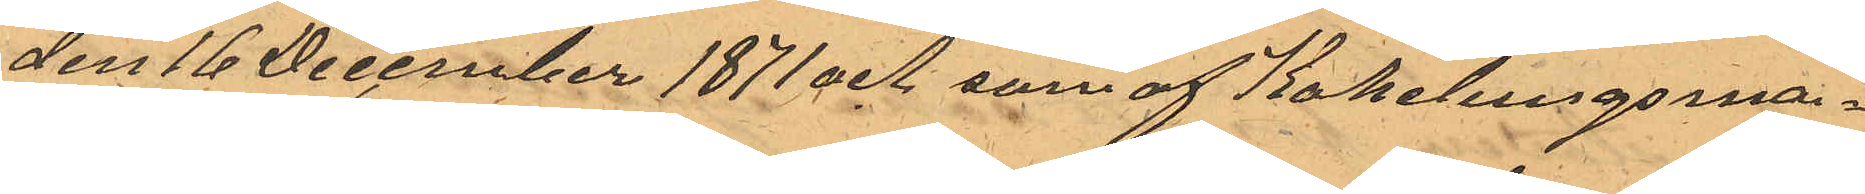den 16 December 1871 och son af Kakelungsma¬
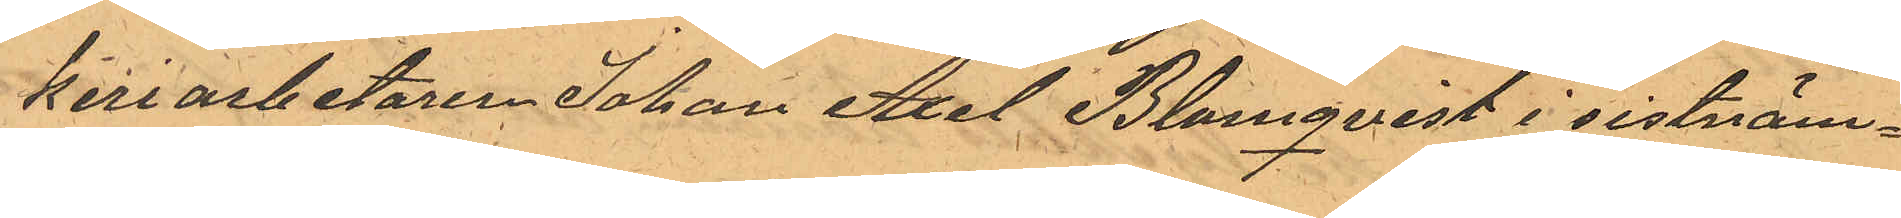keriarbetaren Johan Axel Blomqvist i sistnäm¬
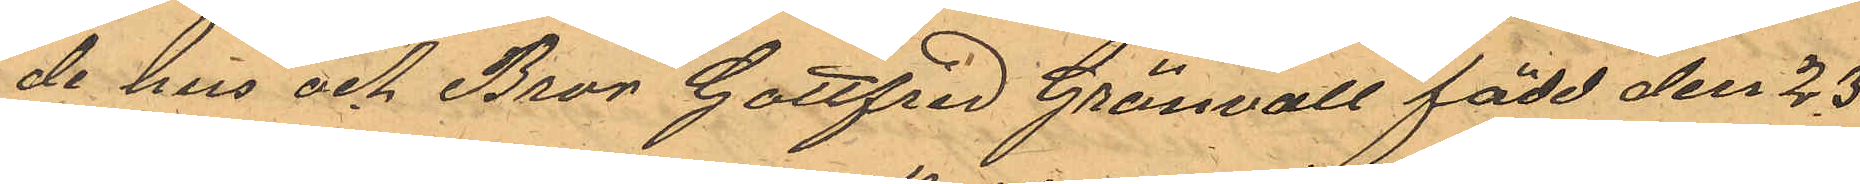de hus och Bror Gottfrid Grönvall född den 23.
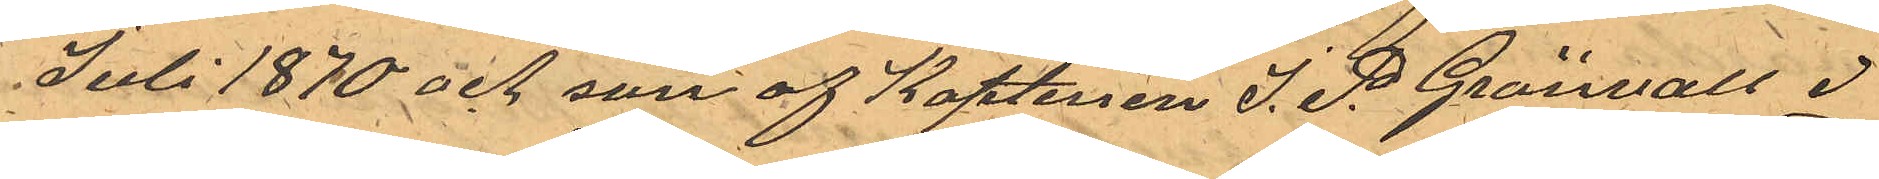Juli 1870 och son af Kaptenen J. P. Grönvall i
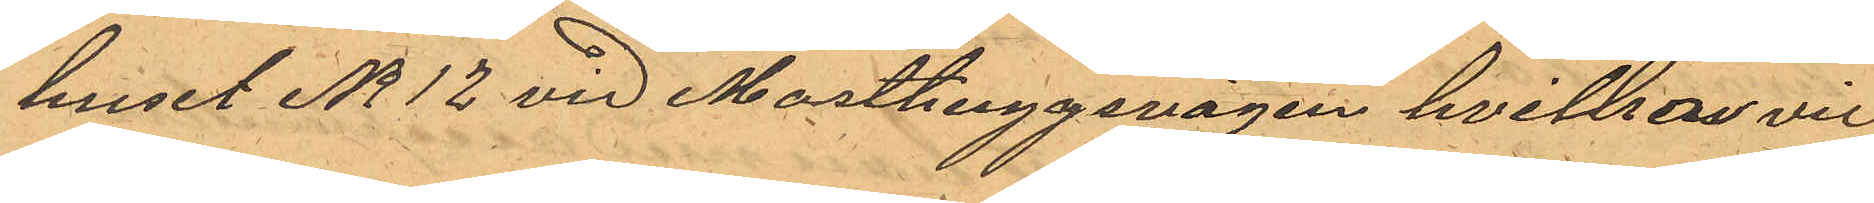huset No 12 vid Masthuggsvägen hvilka vid
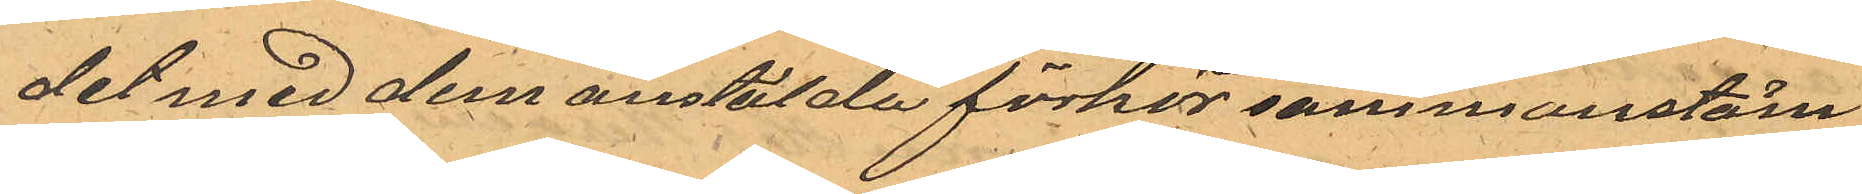det med dem anstälda förhör sammanstäm¬
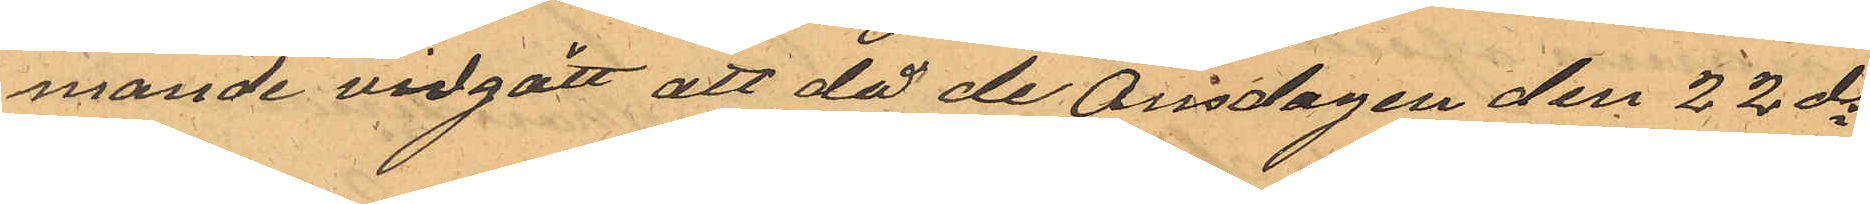mande vidgått att då de Onsdagen den 22 ds
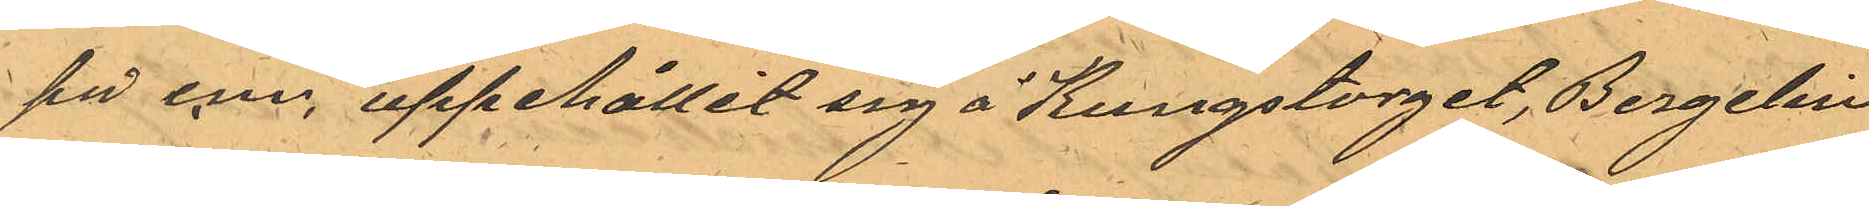på e.m. uppehållit sig å Kungstorget, Bergelin
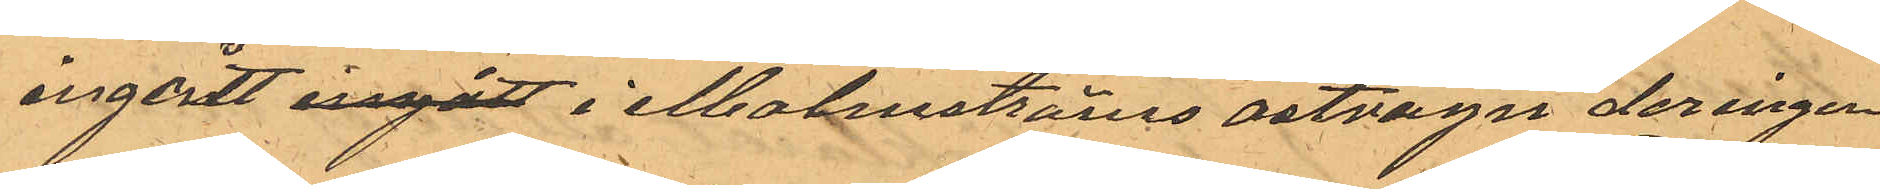ingått ingått i Malmströms ostvagn der ingen
